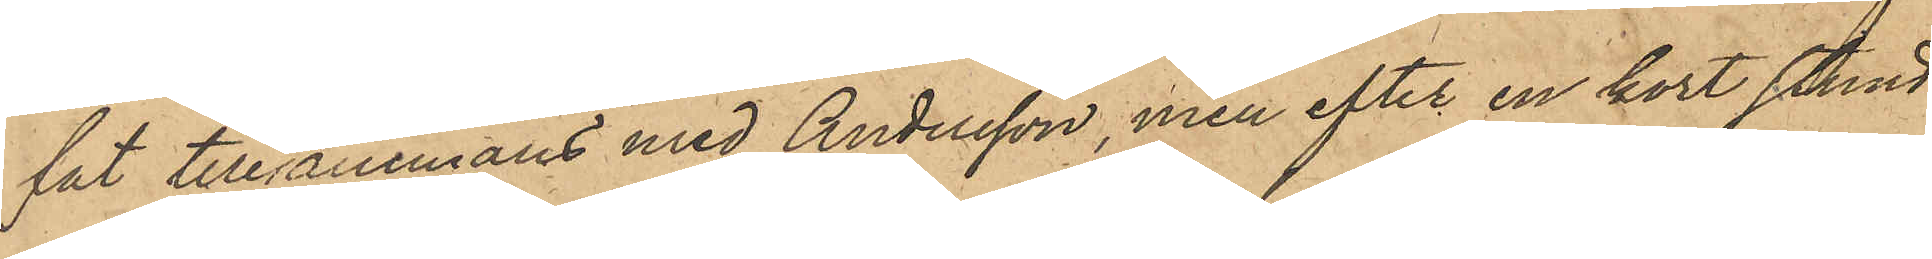fat tillsammans med Andersson, men efter en kort stund
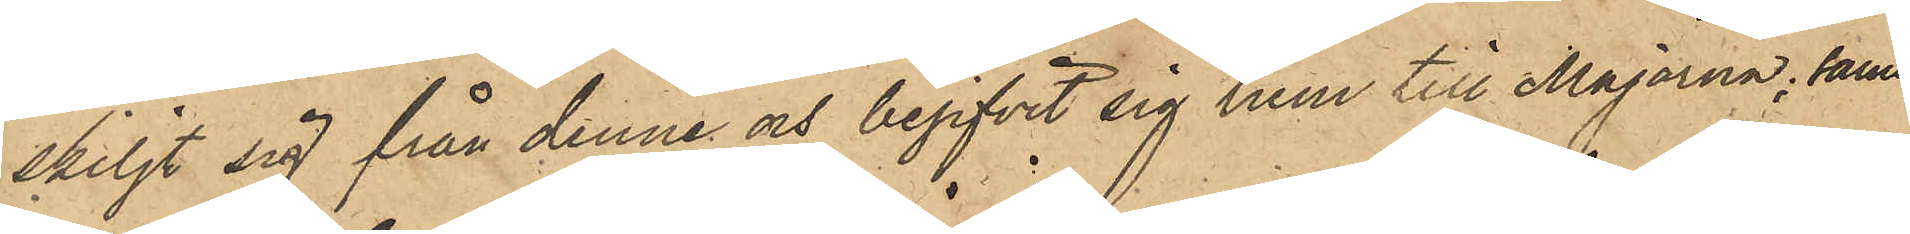skiljt sig från denne och begifvit sig hem till Majorna, samt
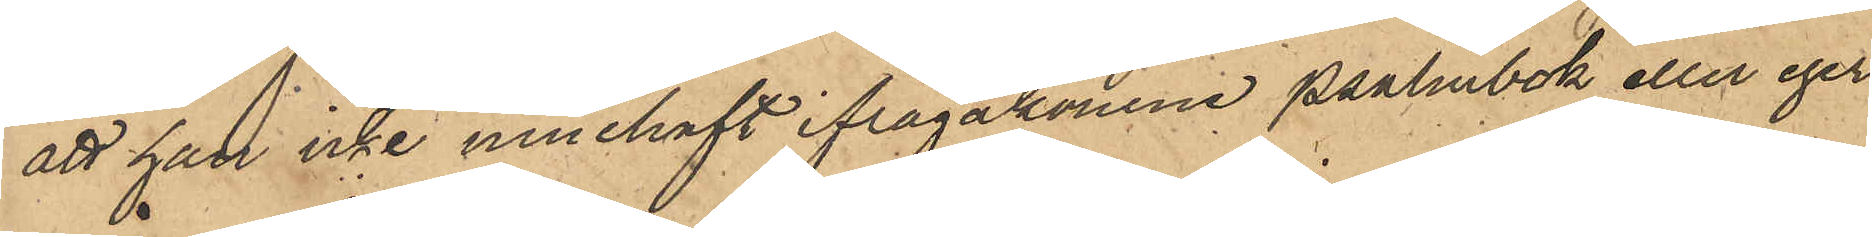att han icke innehaft ifrågakomne psalmbok eller eger
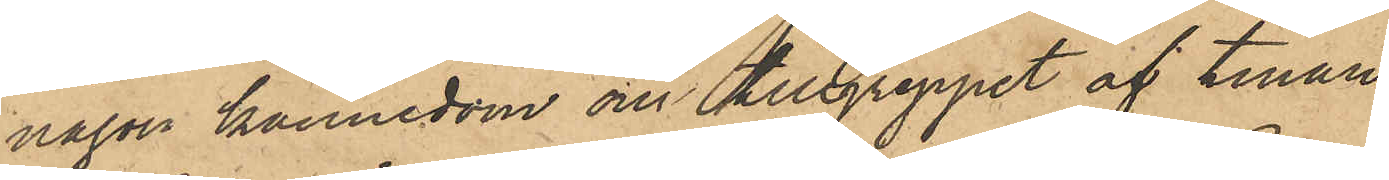någon kännedom om tillgreppet af tinan.
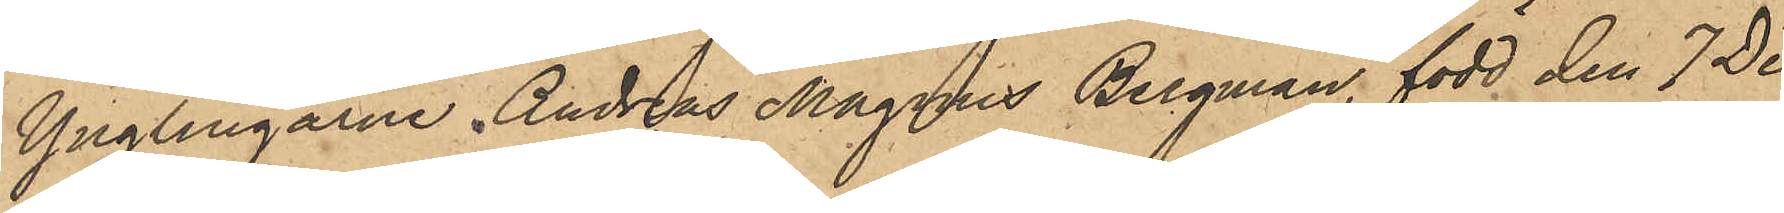Yngligarne Andreas Magnus Bergman, född den 7 De¬
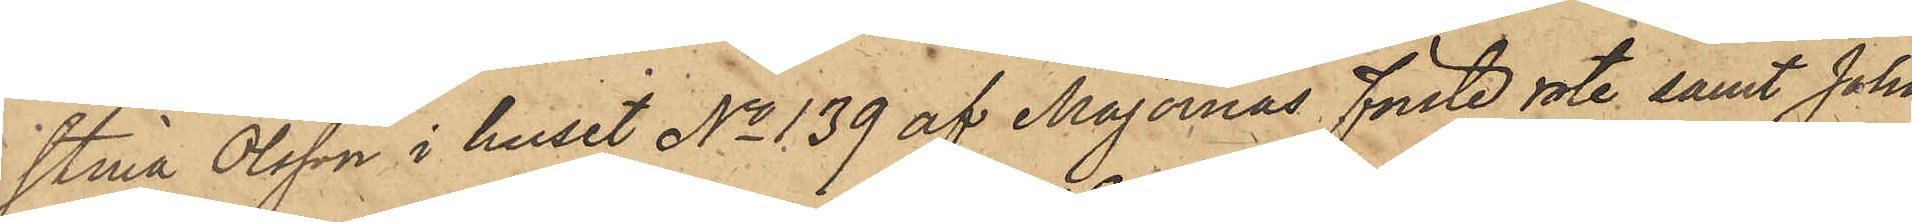stina Olsson i huset No 139 af Majornas förste rote samt John
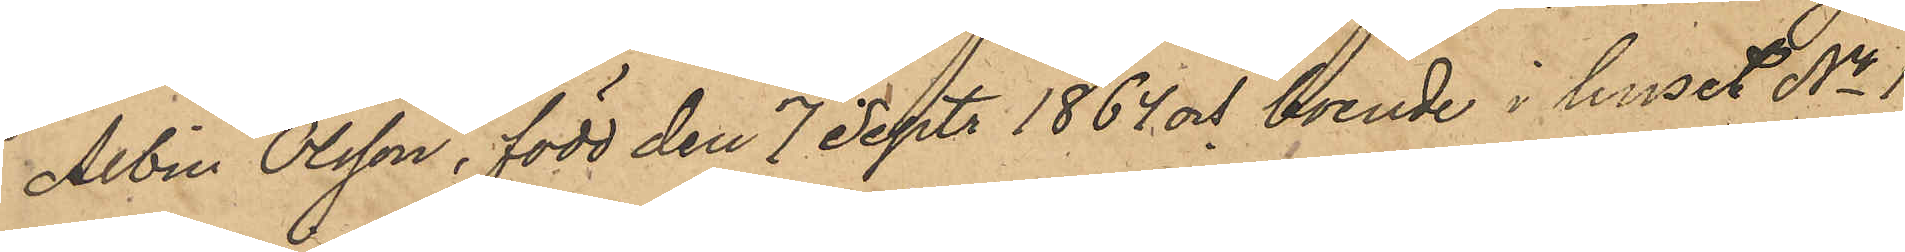Albin Olsson född den 7 Sept. 1864 och boende i huset No 1
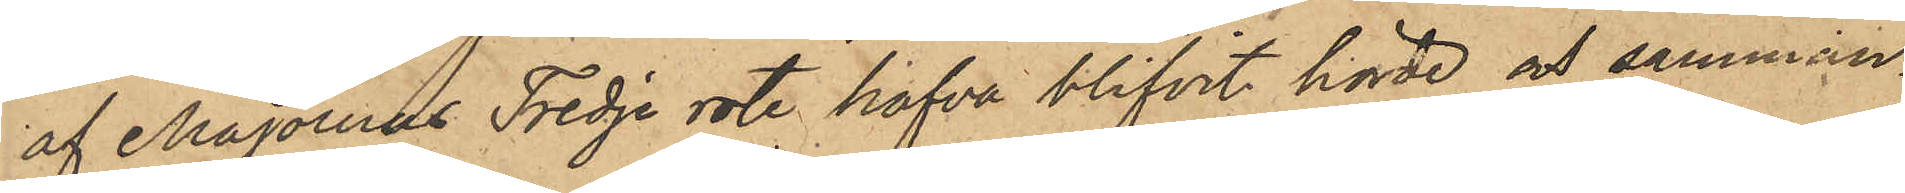af Majornas Tredje rote hafva blivit hörde och samman¬
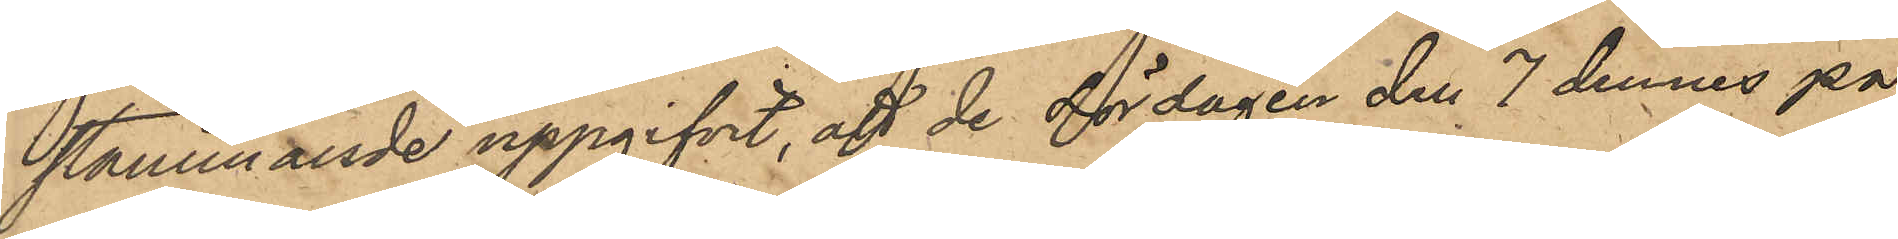stämmande uppgifvit, att de Lördagen den 7 dennes på
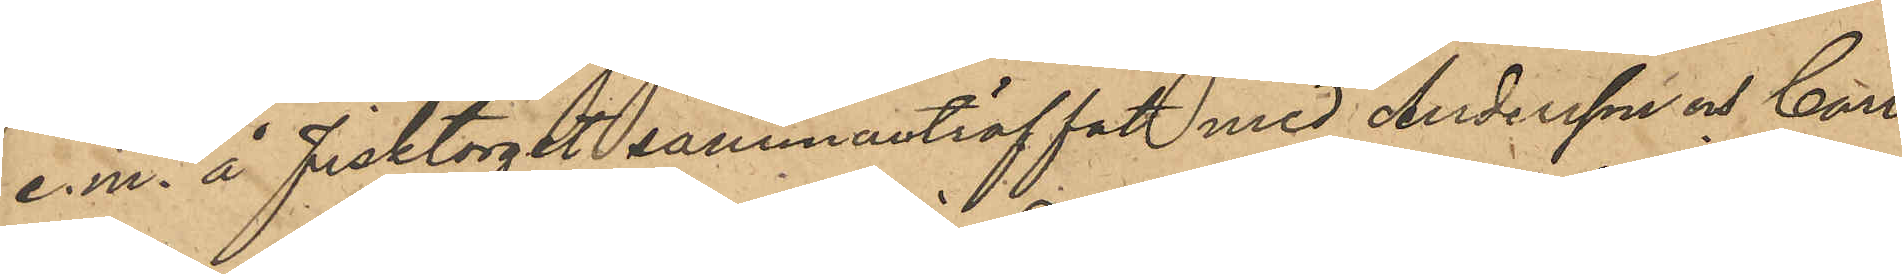e.m. å fisktorget sammanträffat med Andersson och Carl
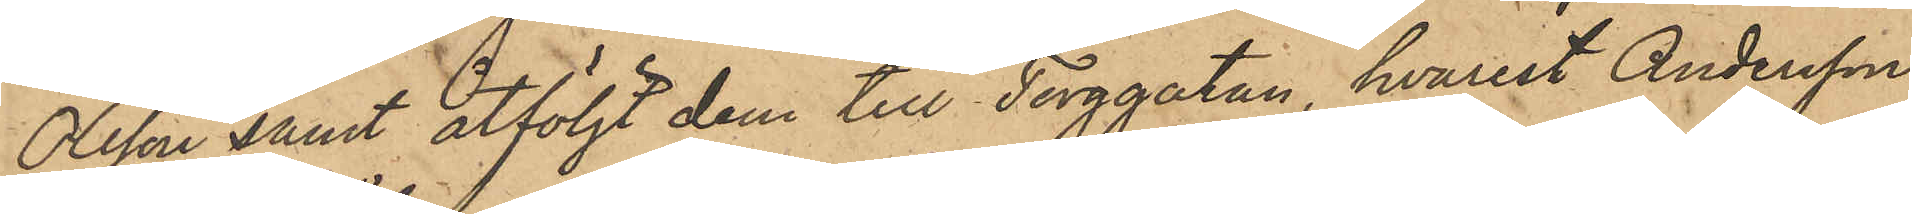Olsson samt åtföljt dem till Torggatan, hvarest Andersson
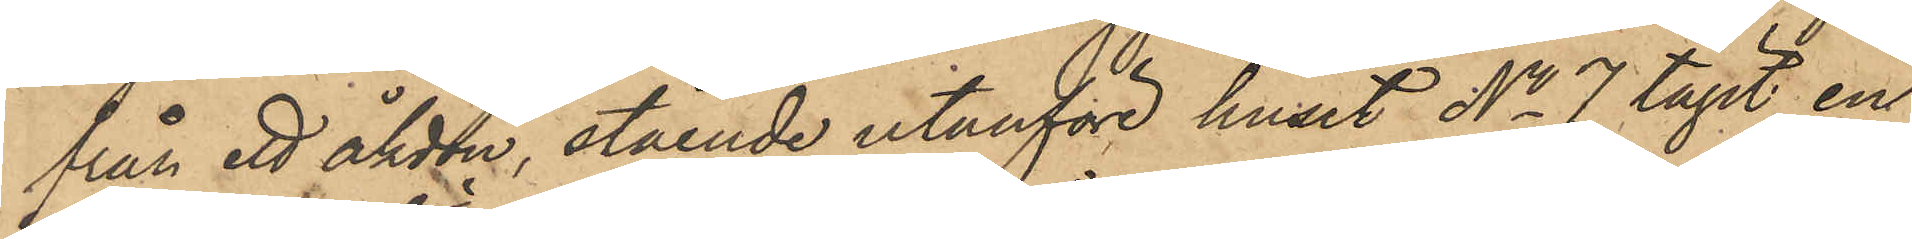från ett åkdon, stående utanföre huset No 7 tagit en
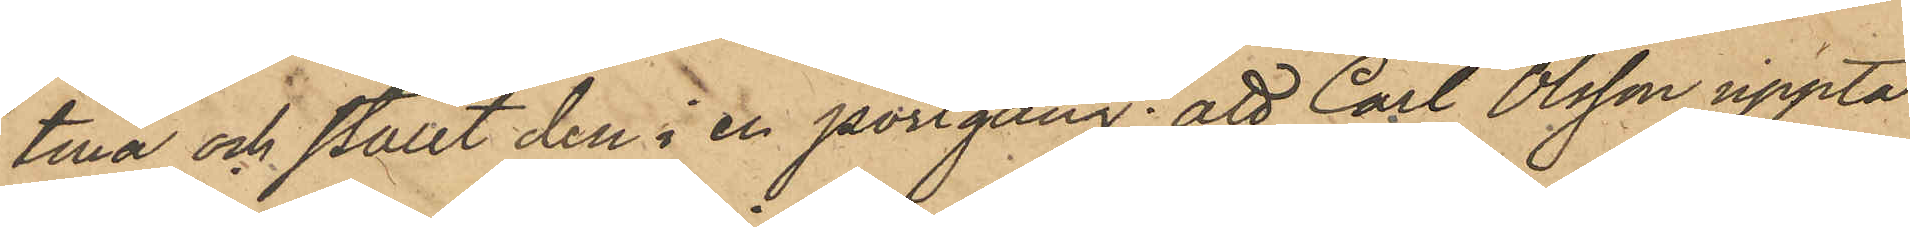tina och ställt den i en portgång; att Carl Olsson uppta¬
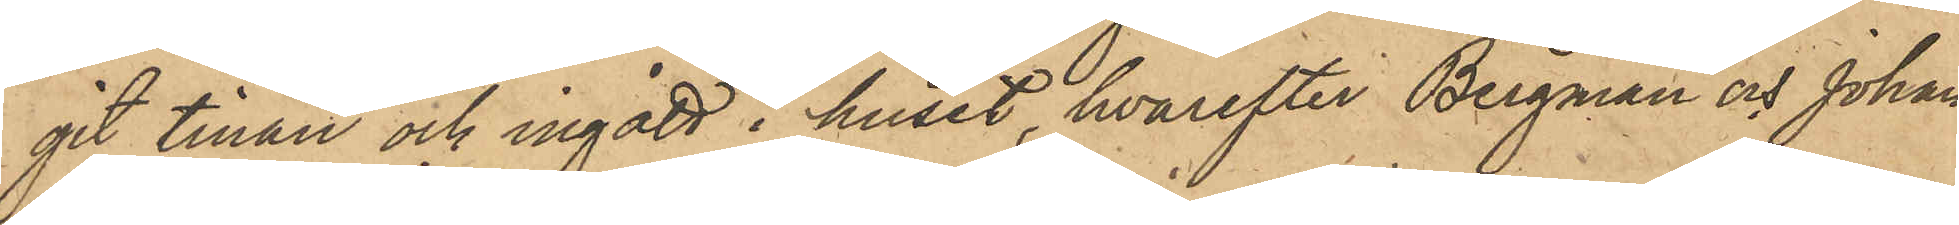git tinan och ingått i huset, hvarefter Bergman och Johan
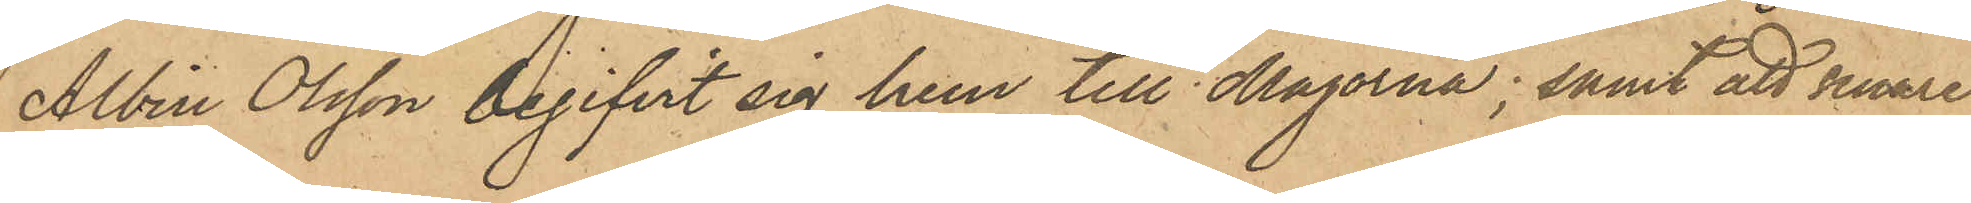Albin Olsson begifvit sig hem till Majorna; samt att senare
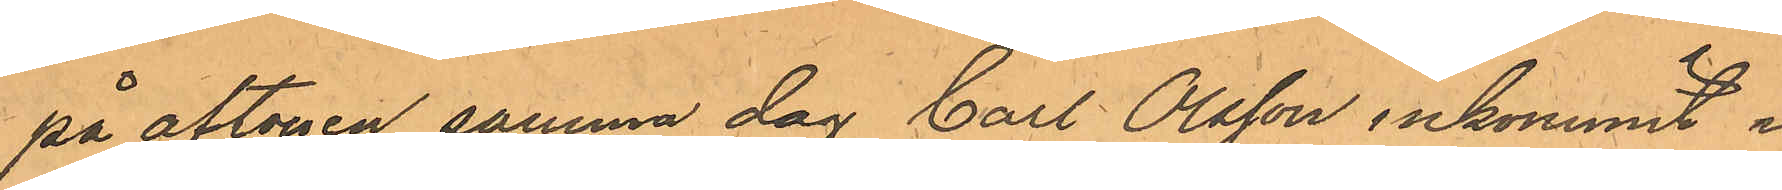på aftonen samma dag Carl Olsson inkommit i
